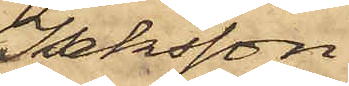Isaksson,
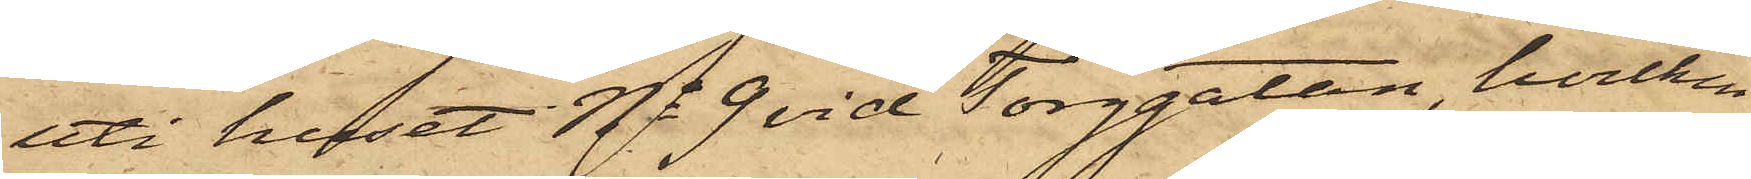uti huset No 9 vid Torggatan, hvilken
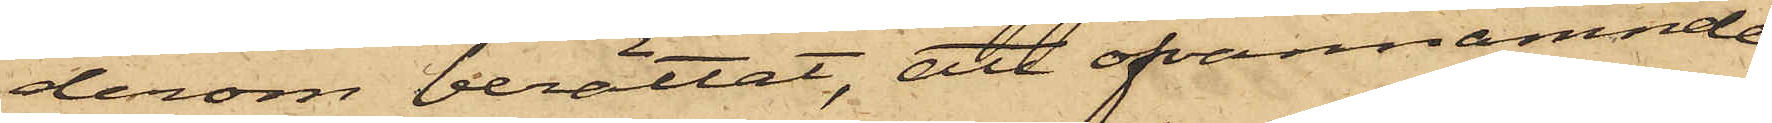derom berättat, att ofvannämnde
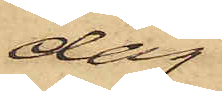dag
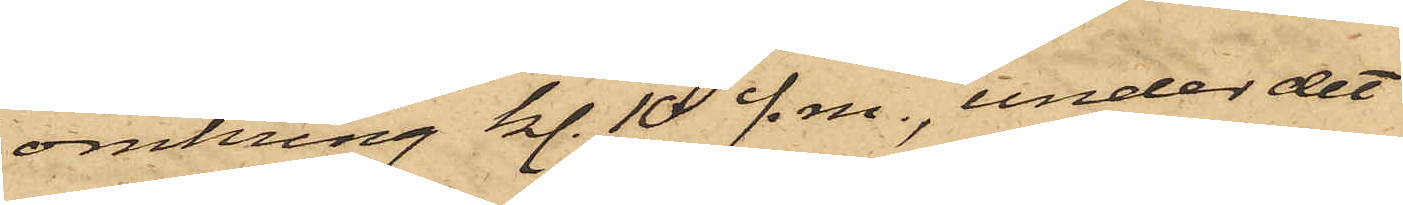omkring kl. 10 f.m., under det
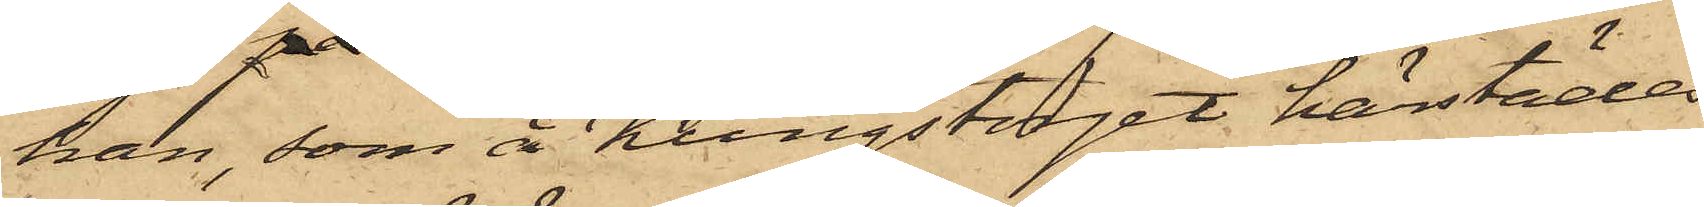han, som å Kungstorget härstädes
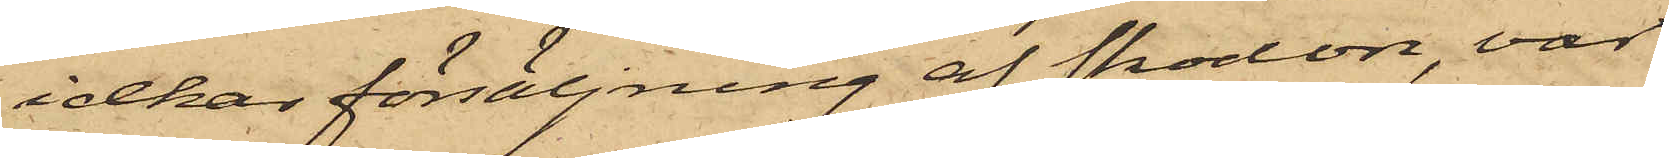idkar försäljning af skodon, var
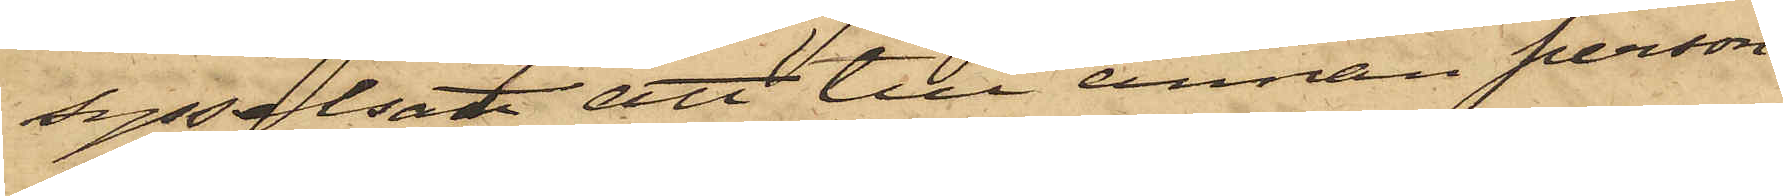sysselsatt att till annan person
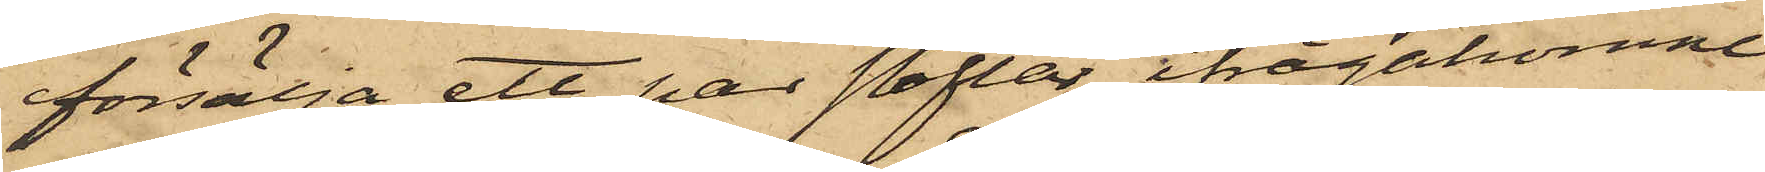försälja ett par stöflar, ifrågakomne
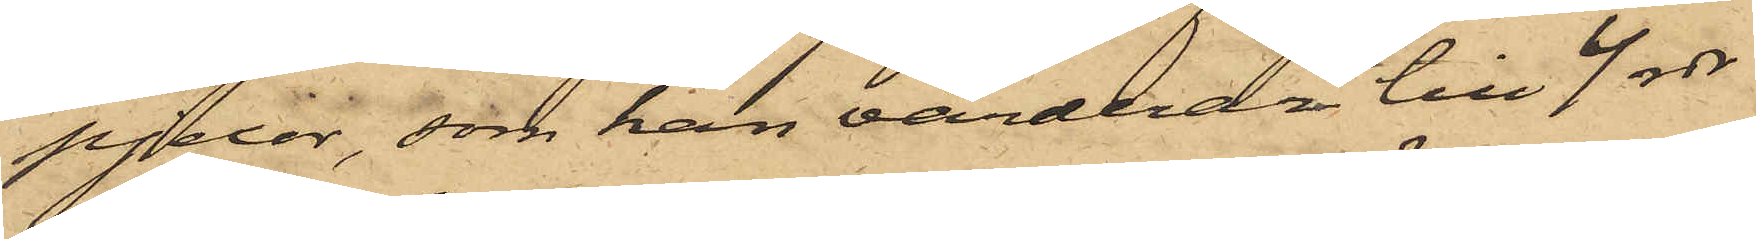pjexor, som han värderar till 4 rdr
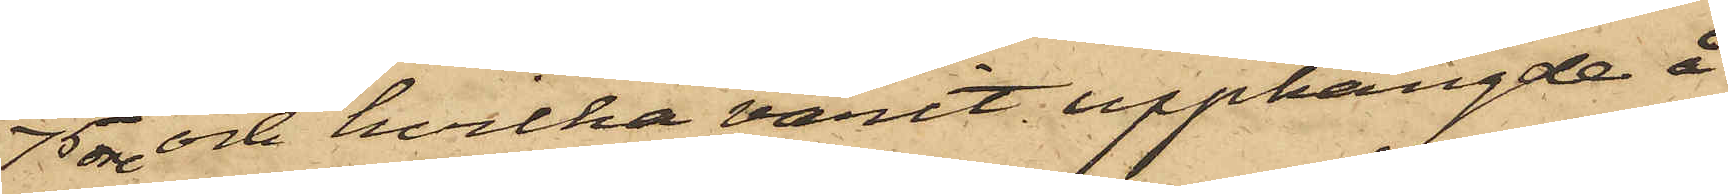75 öre och hvilka varit upphängde å
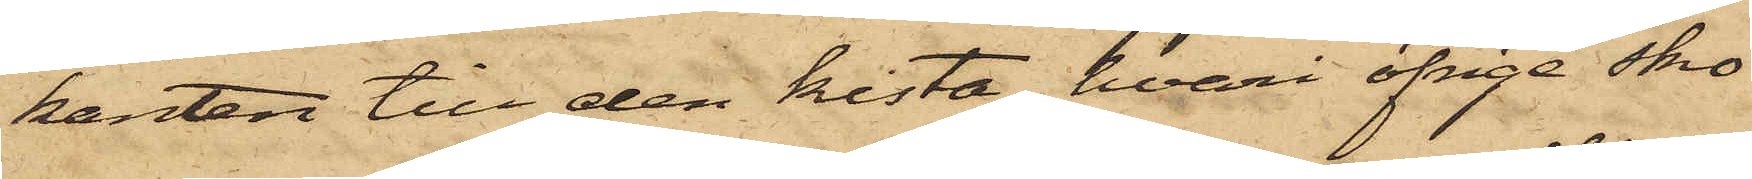kanten till den kista, hvari öfrige sko¬
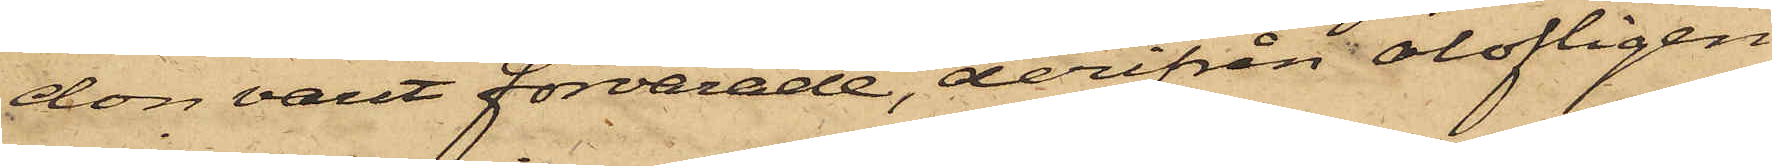don varit förvarade, derifrån olofligen
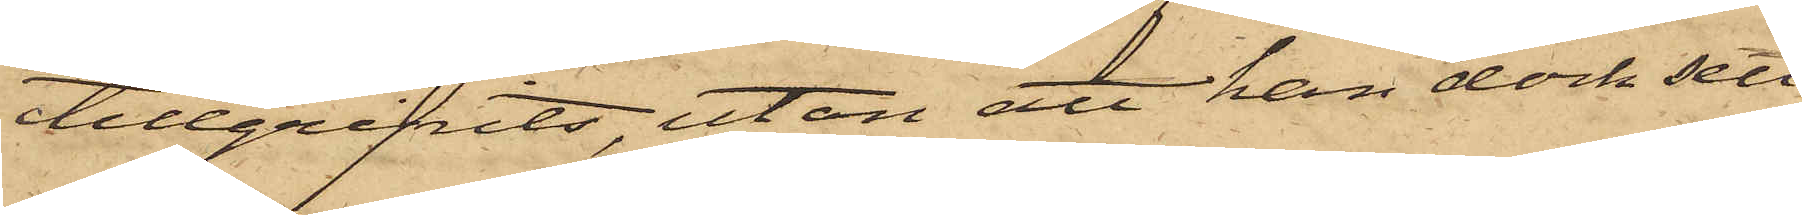tillgripits, utan att han dock sett
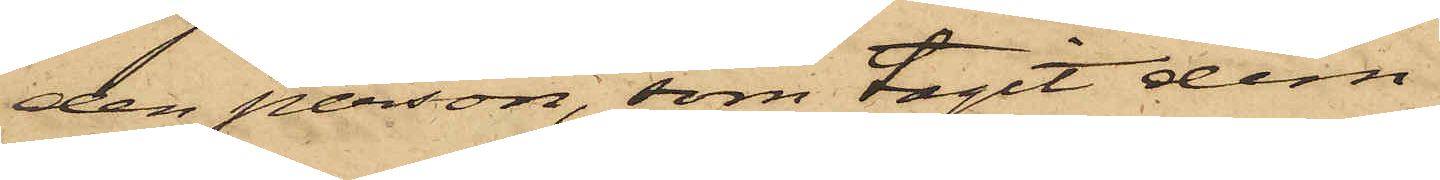den person, som tagit dem.
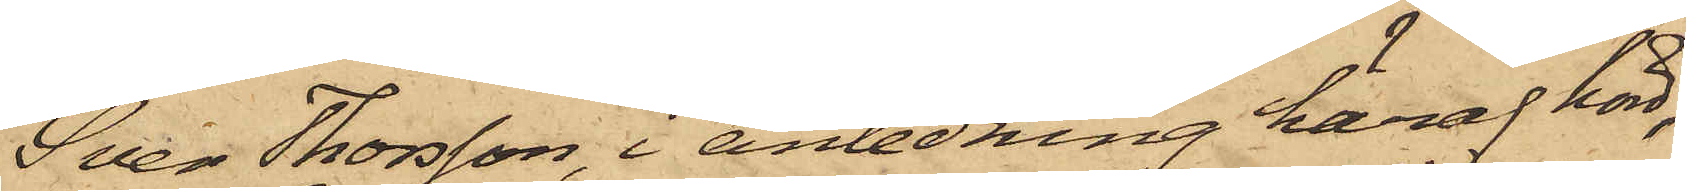Sven Thorsson, i anledning häraf hörd,
